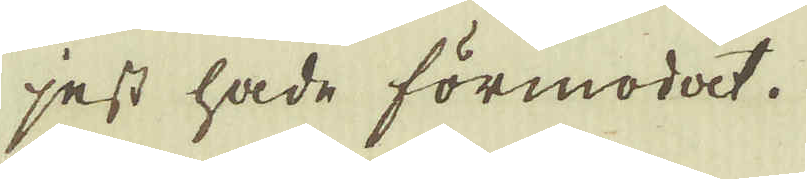jest hade förmodat.
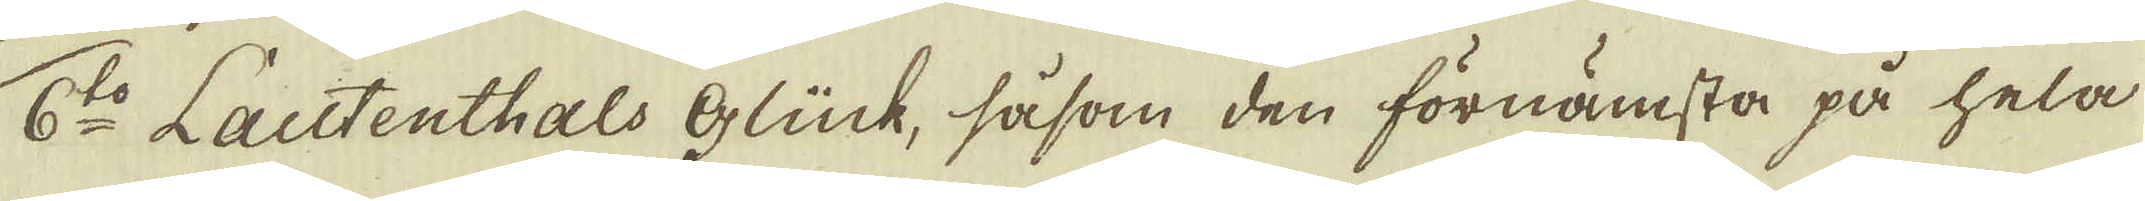6:to Lautenthals Glück, såsom den förnämsta på hela
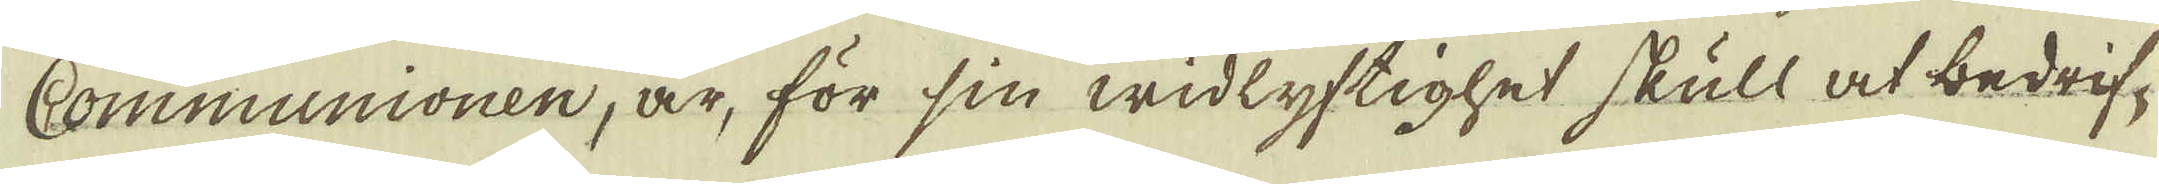Communionen, är, för sin widlyftighet skull at bedrif-
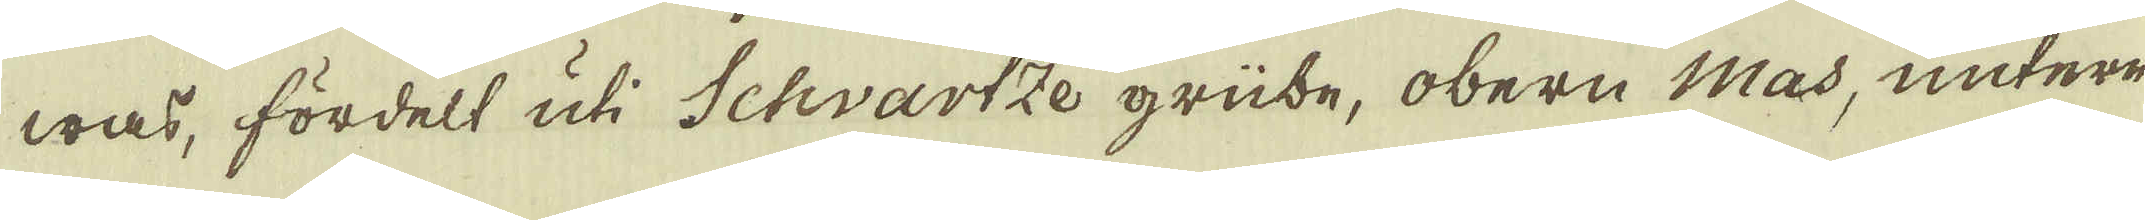was, fördelt uti Schvartze grübe, obern Mas, untere
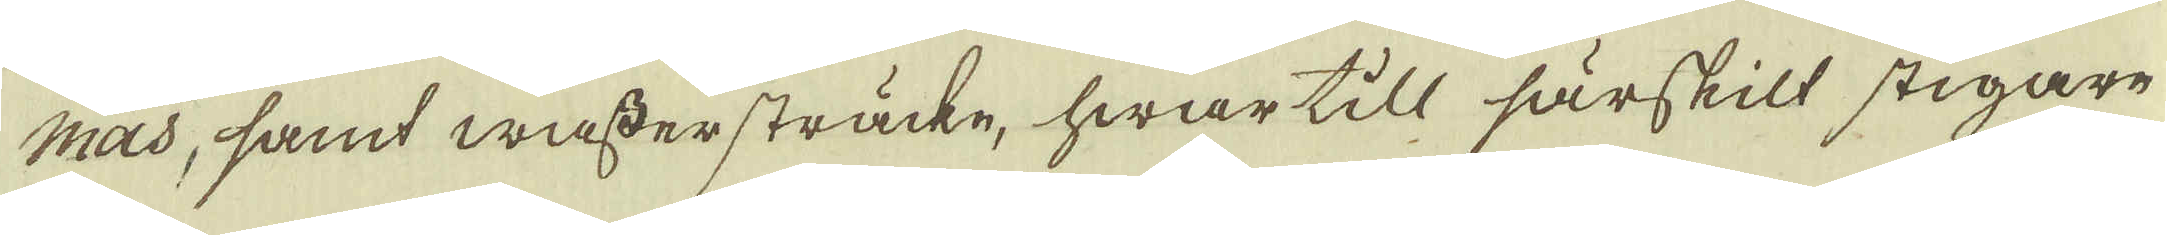Mas, samt wästersträcke, hwar till särskilt stigare
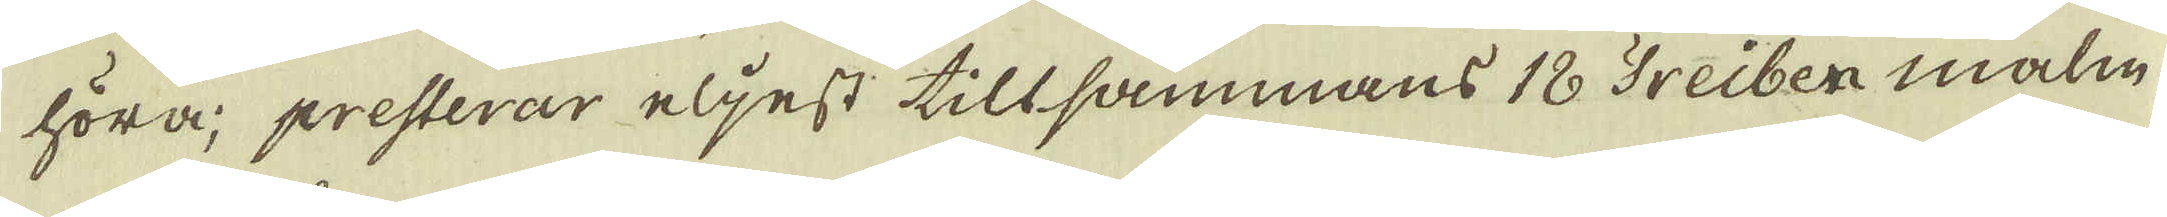höra, presterar eljest tillsammans 18 Treiber malm
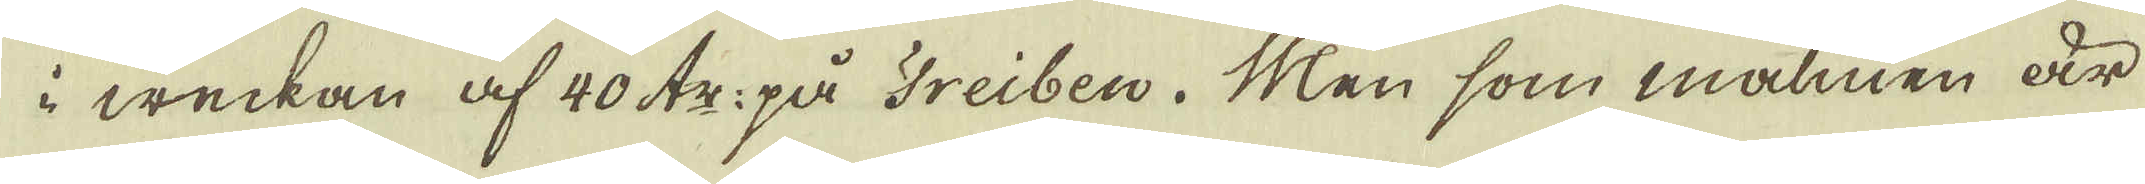i weckan af 40 tr: på Treiben. Men som malmen är
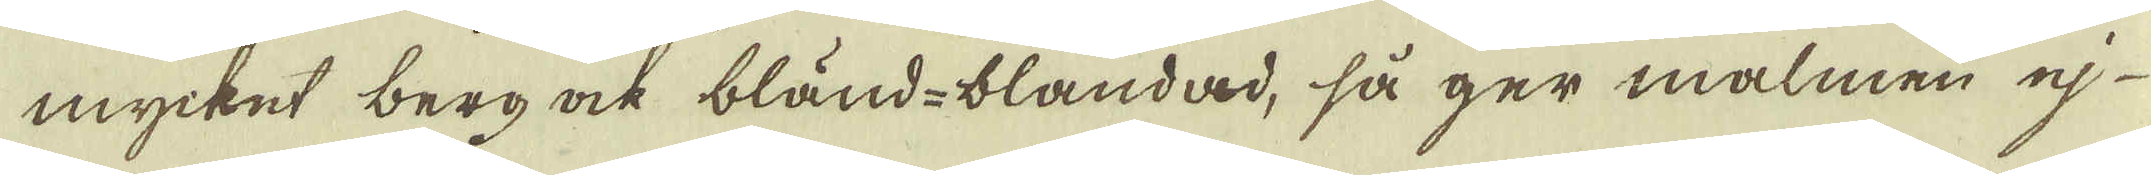mycket berg ock bländ-blandad, så ger malmen ej
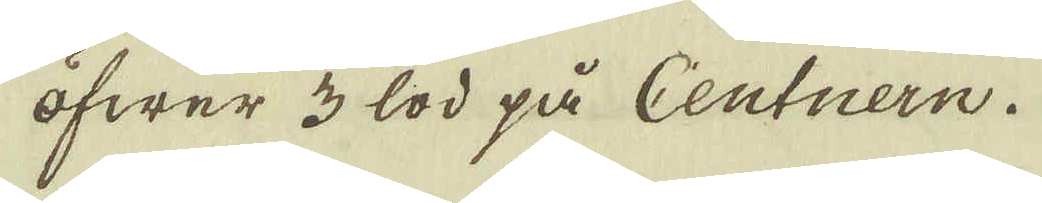öfwer 3 lod på Centnern.
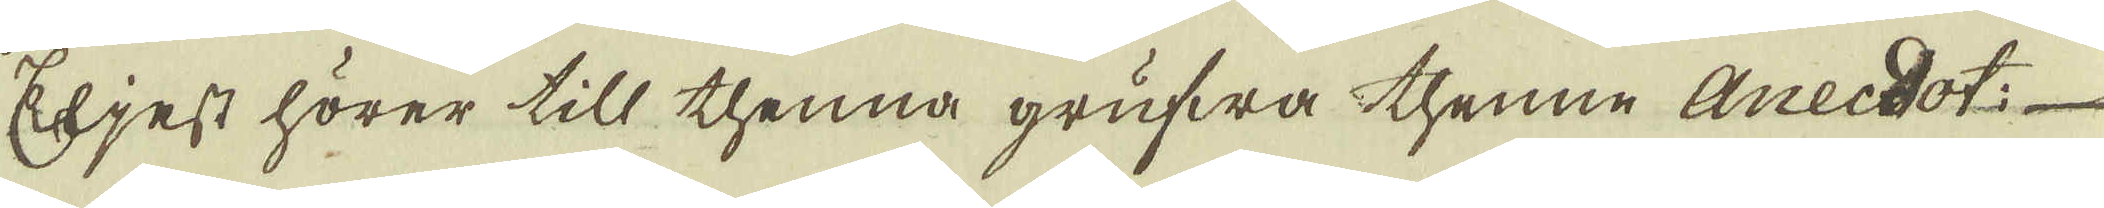Eljest hörer till thenna grufwa thenne Annecdot:
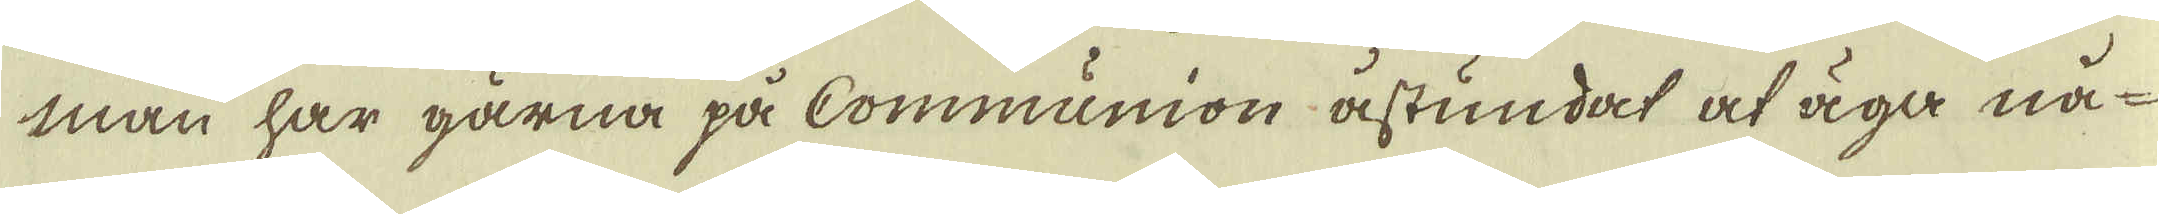man har gärna på Communion åstundat at äga nå-
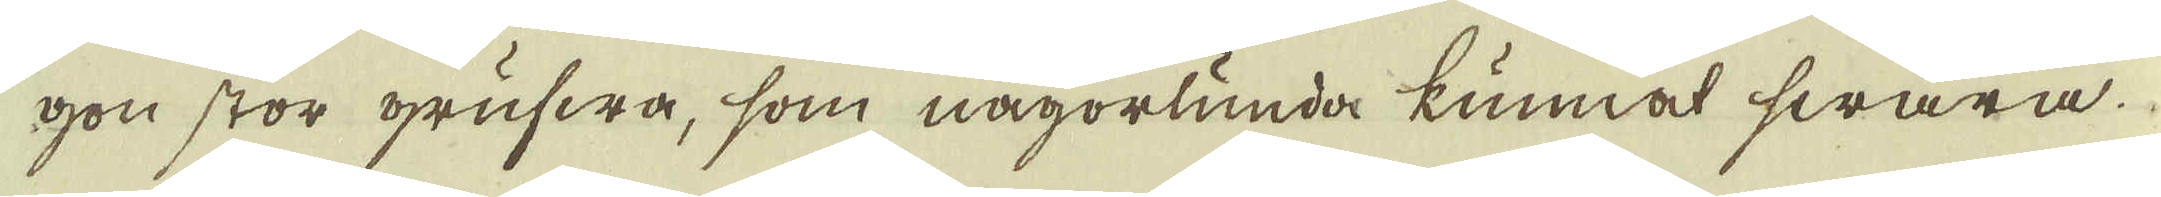gon stor grufwa, som någorlunda kunnat swara.
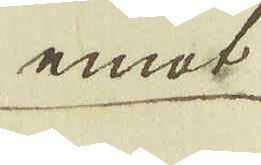emot
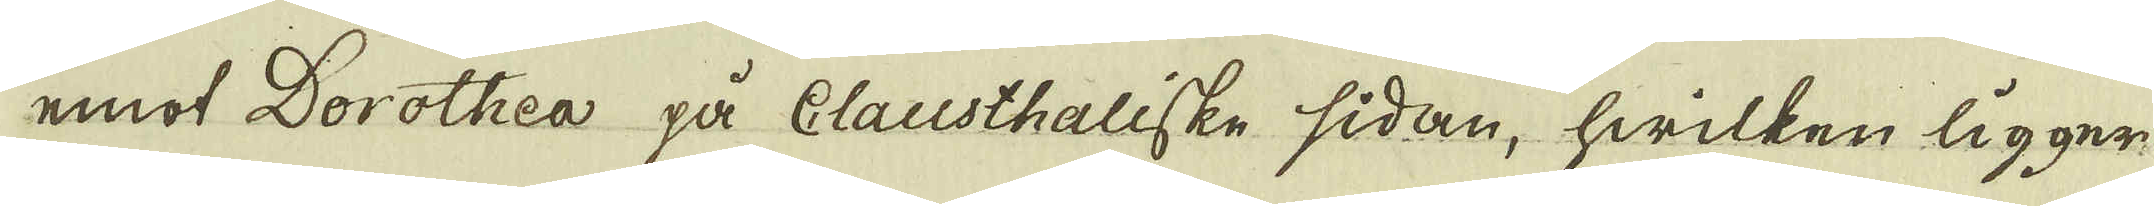emot Dorothea på Clausthaliske sidan, hwilken ligger
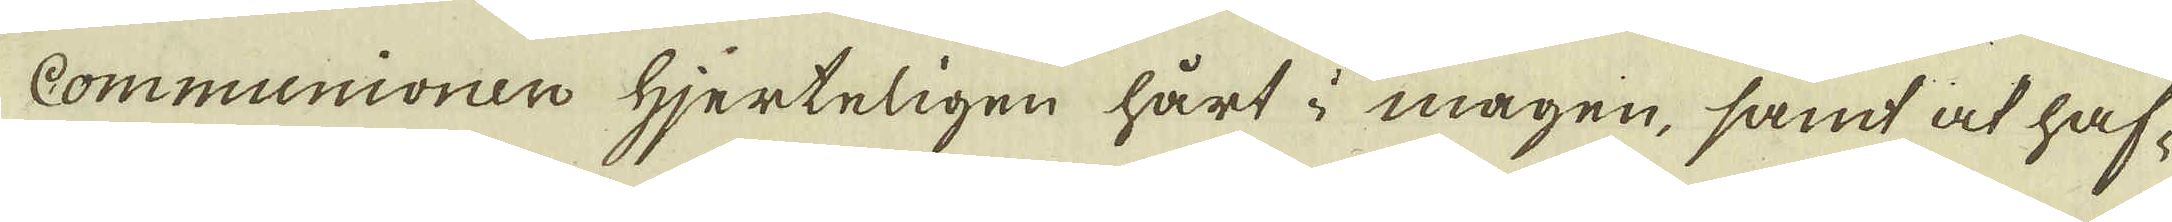Communionern Hjerteligen hårt i magen, samt at haf-
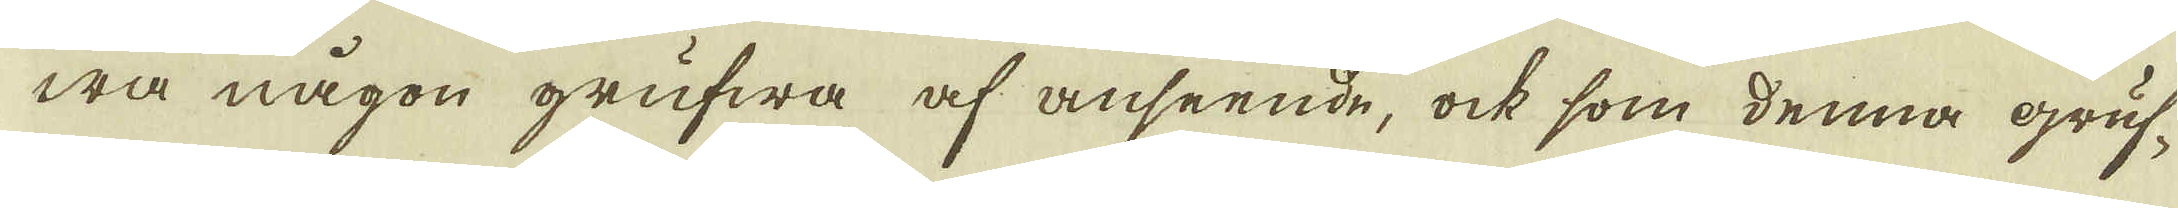wa någon grufwa af anseende, ock som denna gruf-
